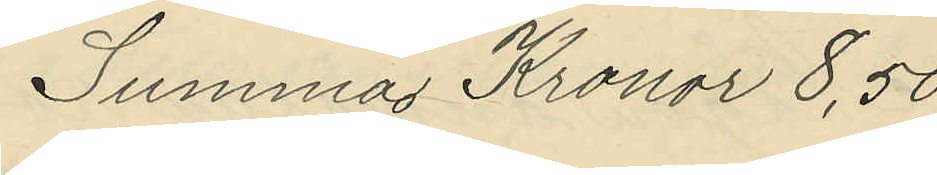Summa Kronor 8,50
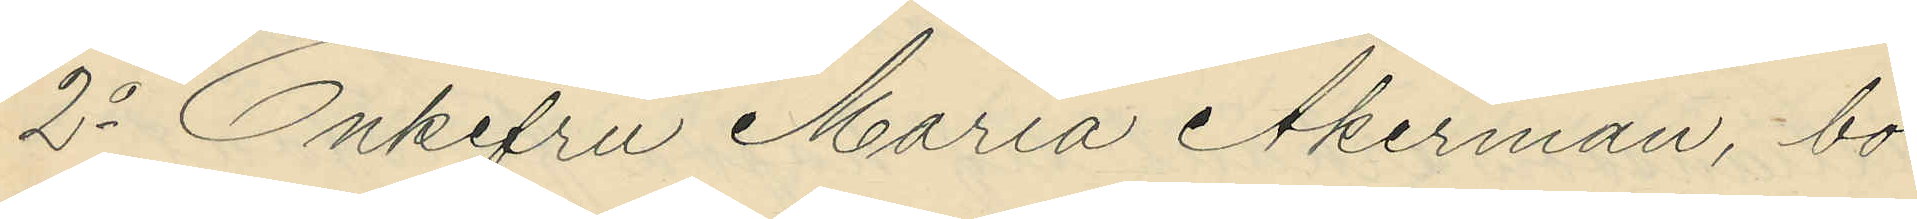2o Enkefru Maria Åkerman, bo¬
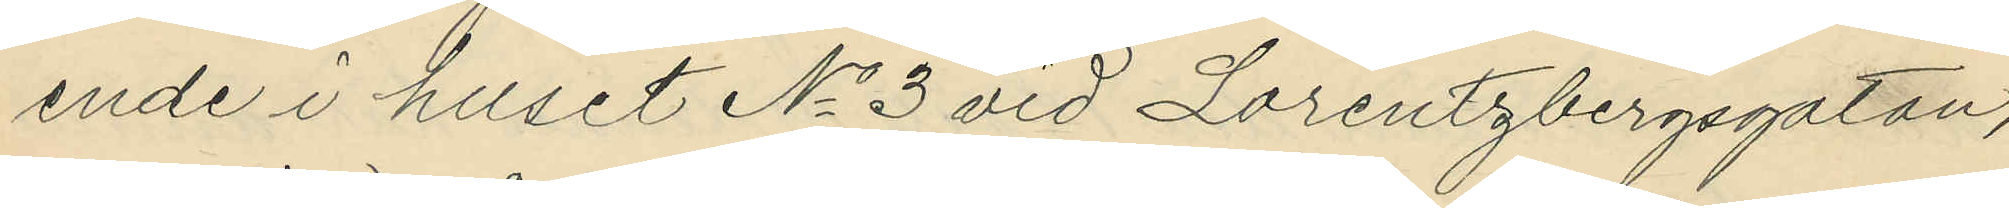ende i huset No 3 vid Lorentzbergsgatan,
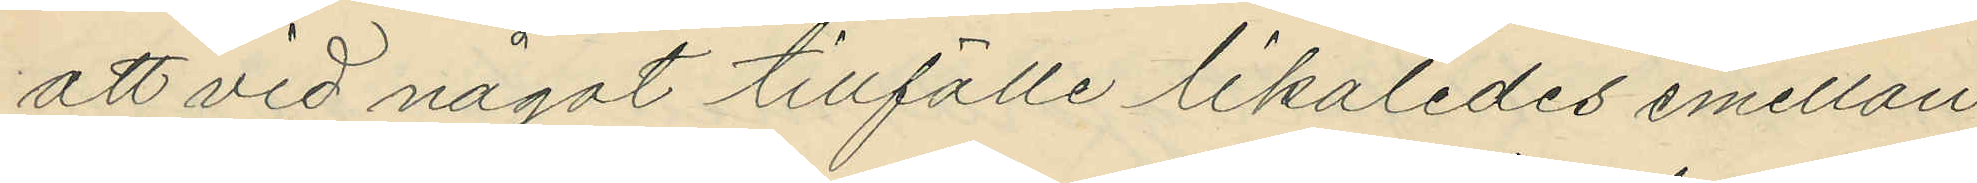att vid något tillfälle likaledes emellan
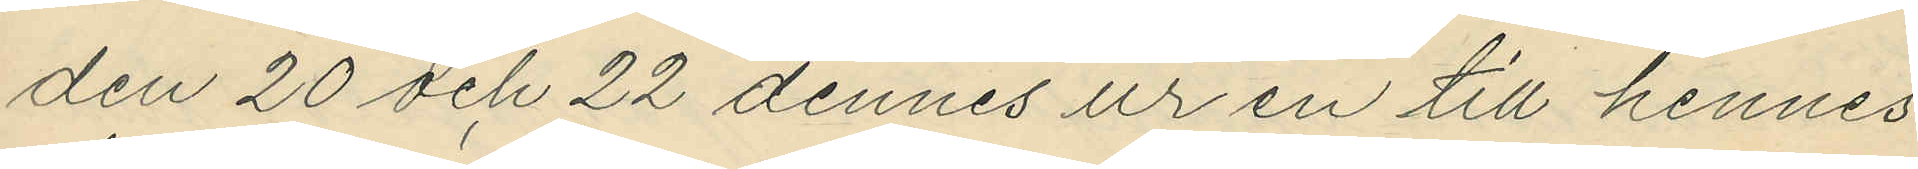den 20 och 22 dennes ur en till hennes
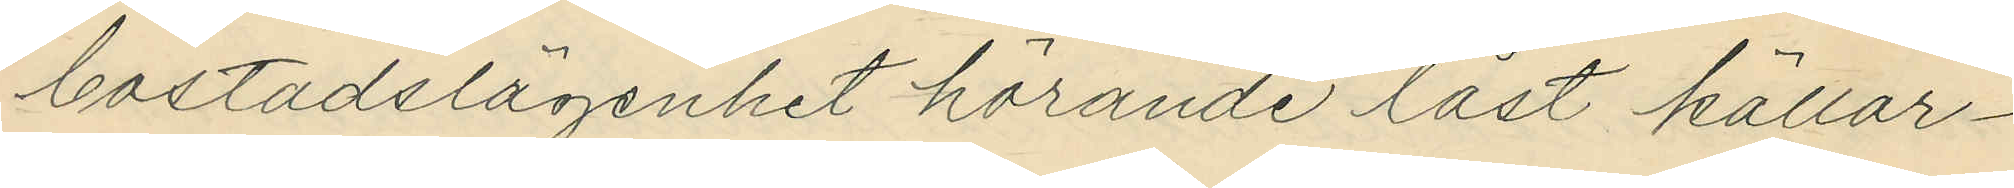bostadslägenhet hörande låst källar¬
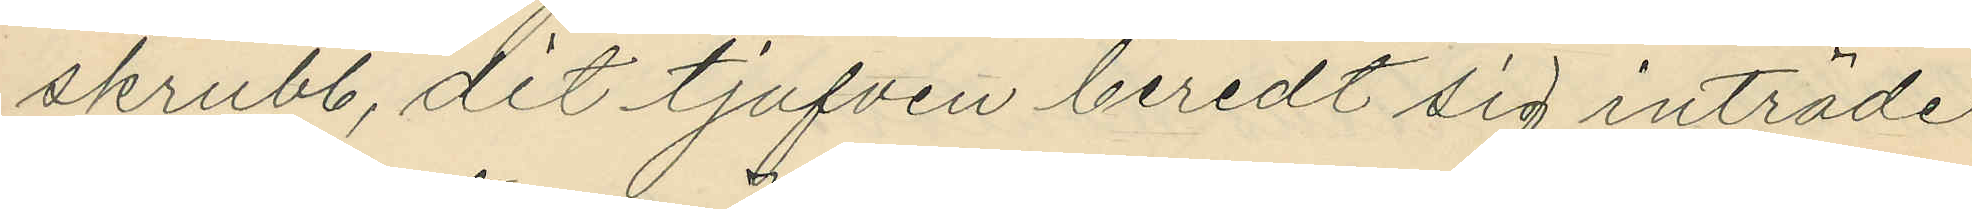skrubb, dit tjufven beredt sig inträde
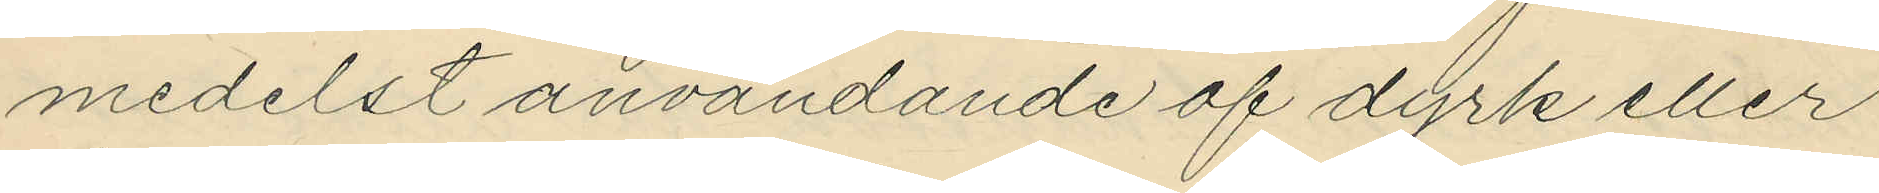medelst användande af dyrk eller
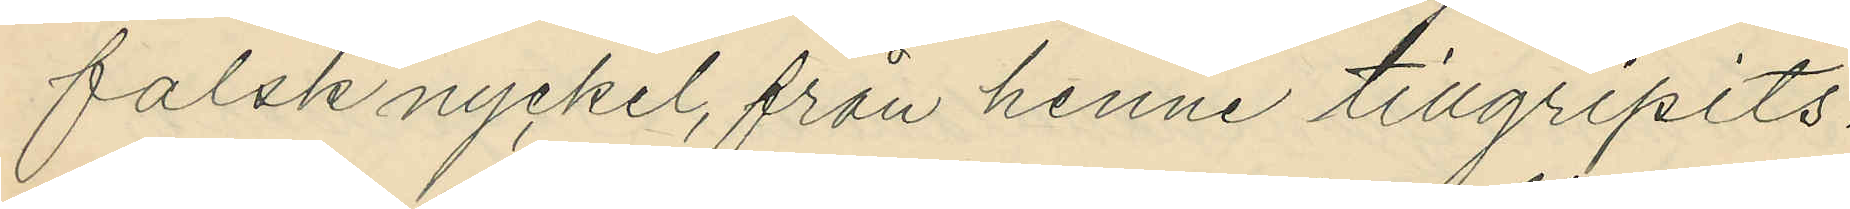falsk nyckel, från henne tillgripits:
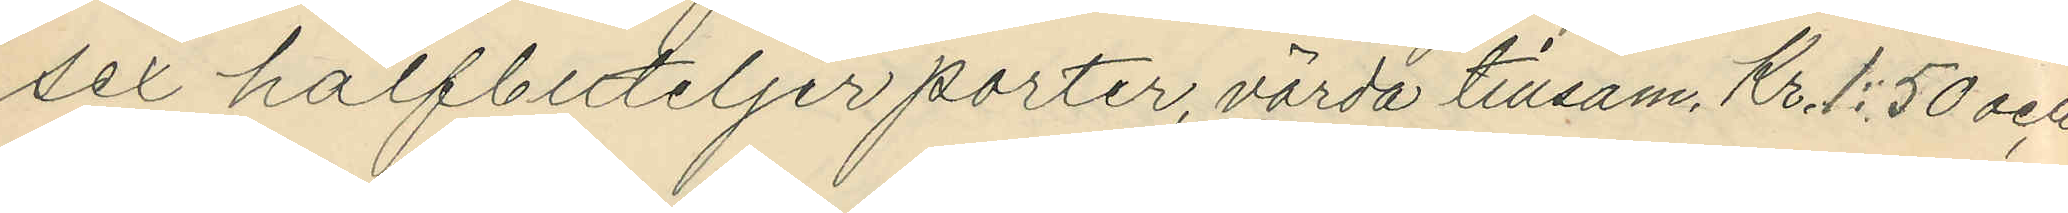sex halfbuteljer porter, värda tillsam. Kr.1:50 och
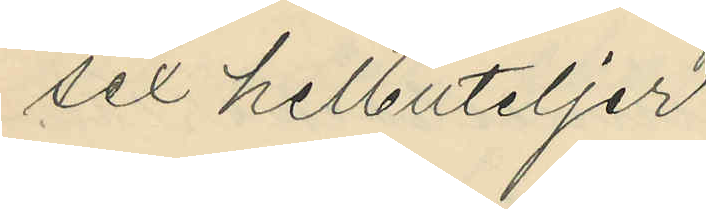sex helbuteljer
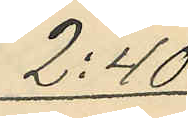2:40
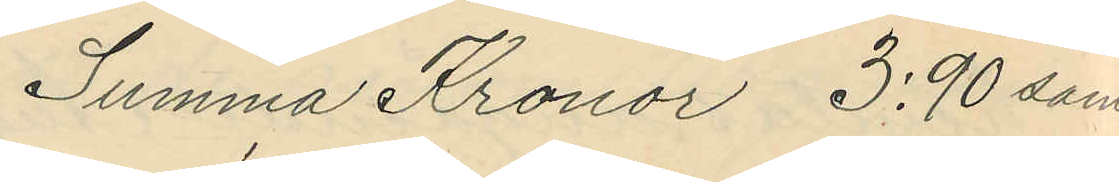Summa Kronor 3:90 samt
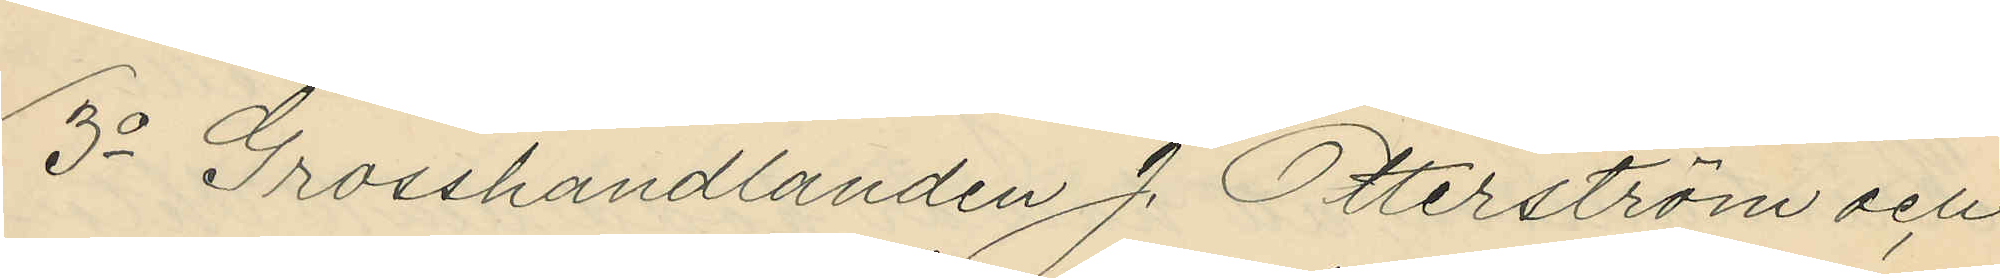3o Grosshandlanden J. Otterström och
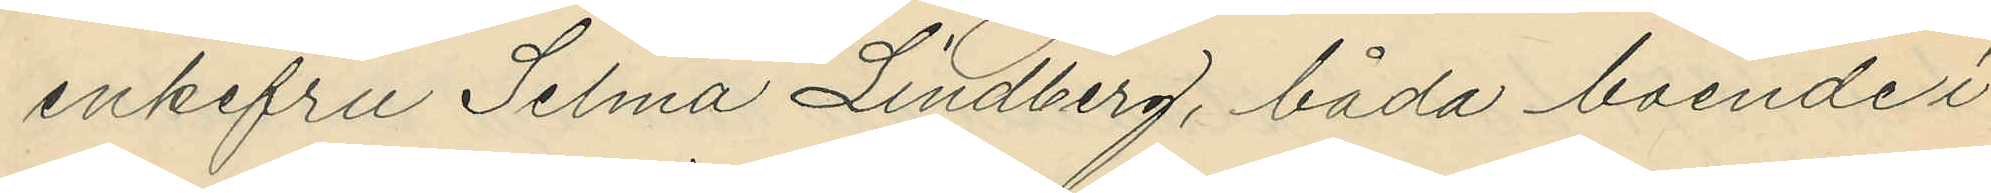enkefru Selma Lindberg, båda boende i
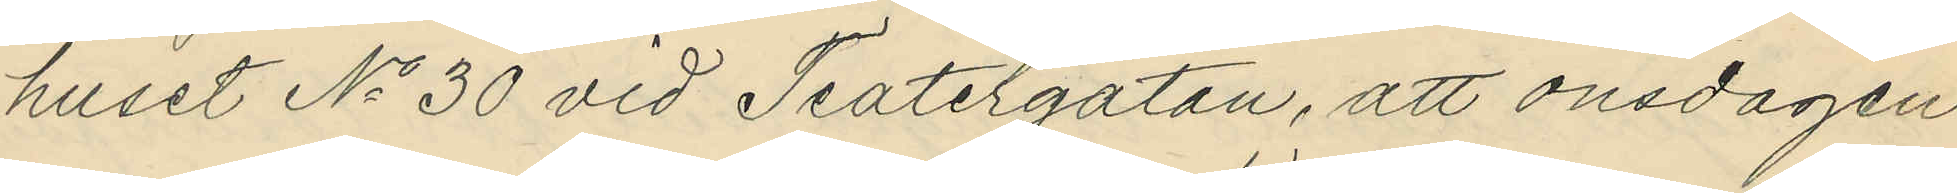huset No 30 vid Teatergatan, att onsdagen
